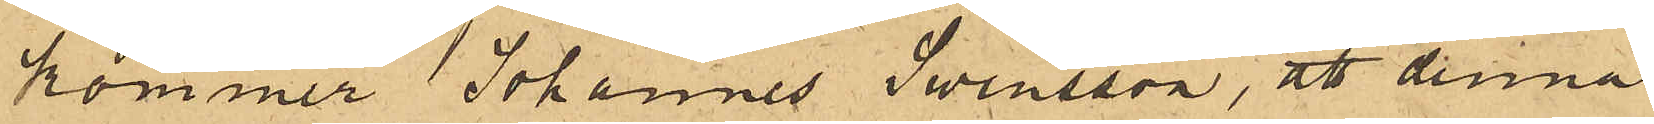kommer Johannes Swensson, att denna
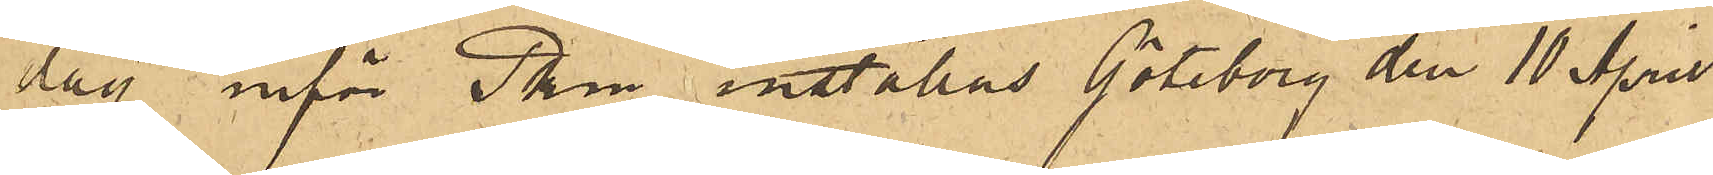dag inför Pkm inställas. Göteborg den 10 April
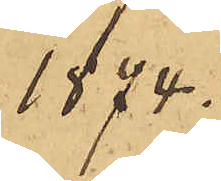1874.
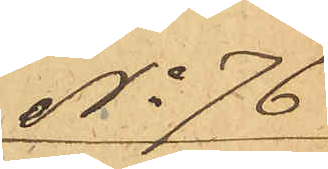No 76
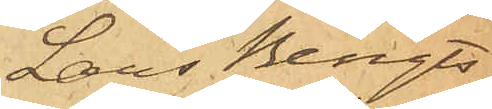Lars Bengts¬
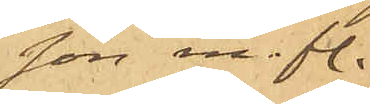son m. fl.
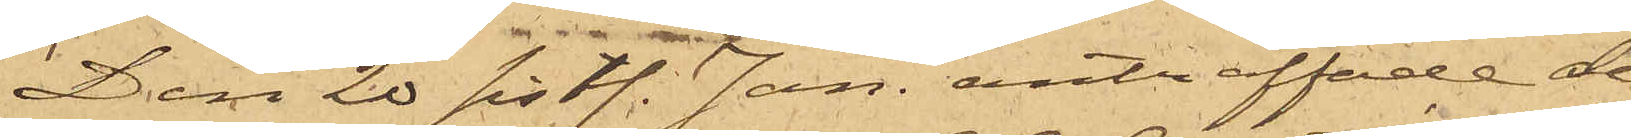Den 20 sist. Jan. anträffade de¬
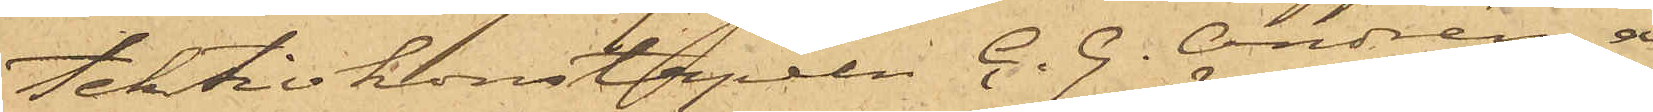tektivkonstapeln C. G. Andrén å
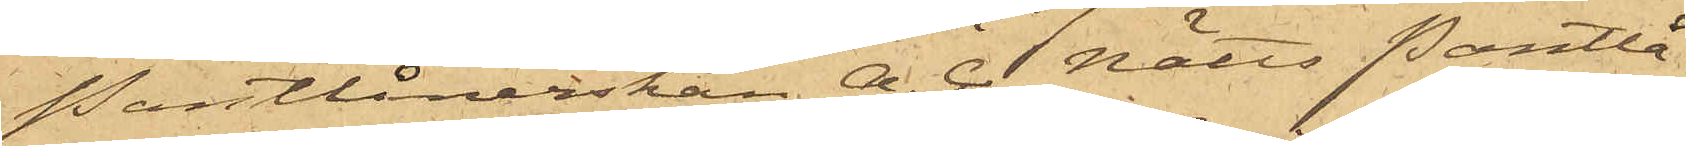Pantlånerskan A. C. Nätts Pantlå¬
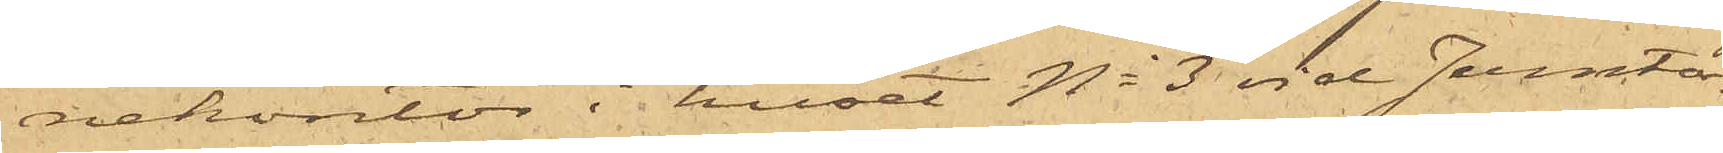nekontor i huset No 3 vid Jerntor¬
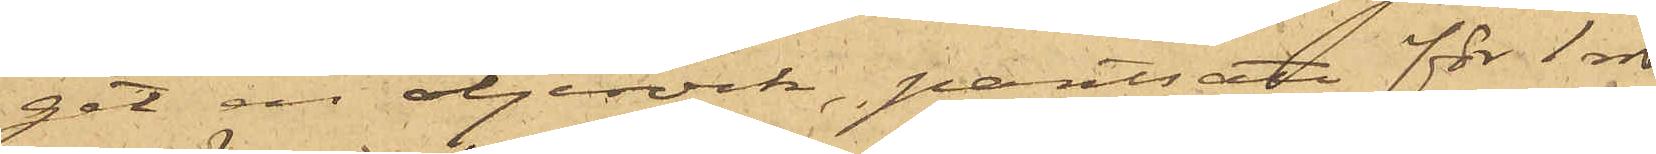get en oljerock, pantsatt för 1 rdr
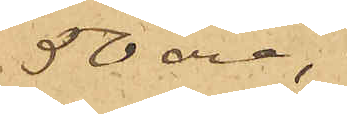50 öre,
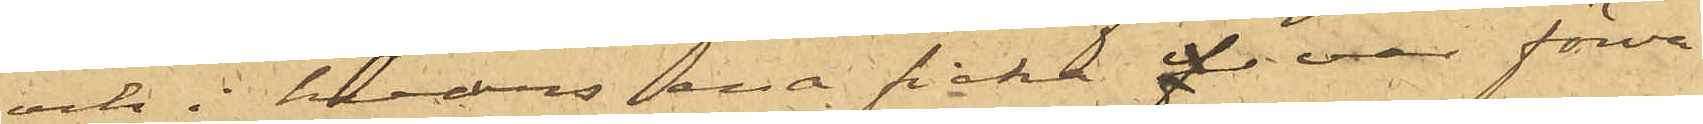och i hvars ena ficka hvar förva¬
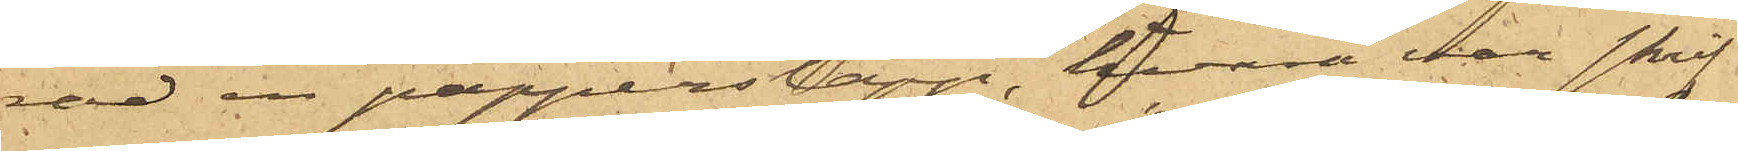rad en papperslapp, hvarå var skrif¬
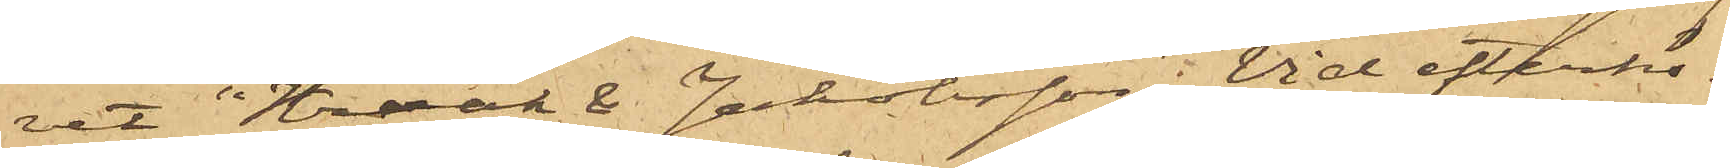vet "Kraak & Jakobsson";  Vid efterhö¬
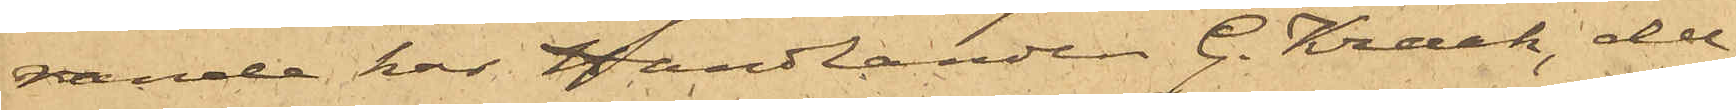rande har handlanden G. Kraak, del¬
